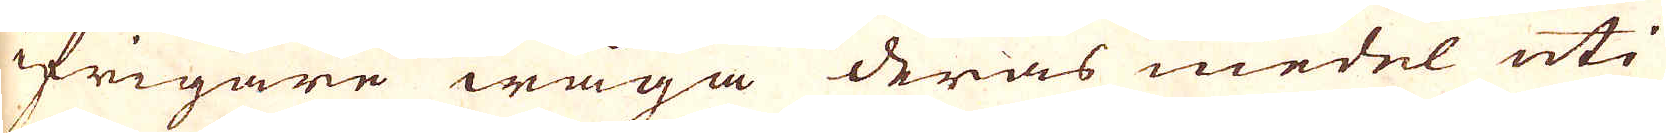ifrigare wåga deras medel uti
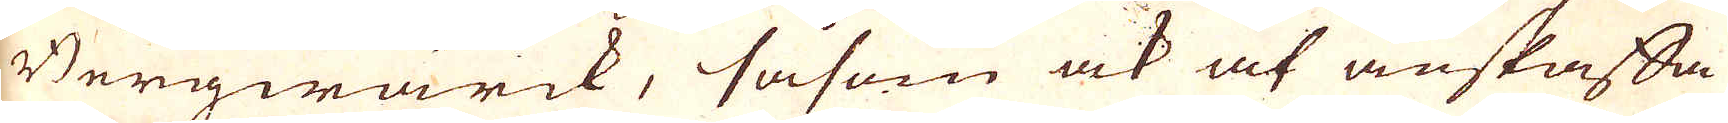Bergwärck, såsom ock at anskaffa
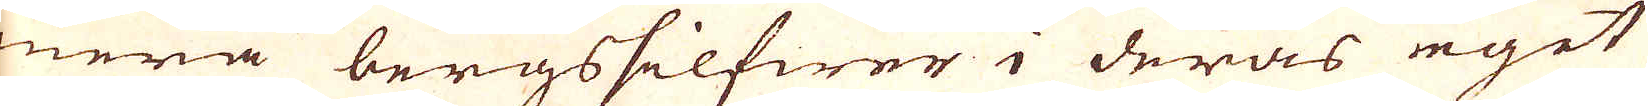mera bergssilfwer i deras eget
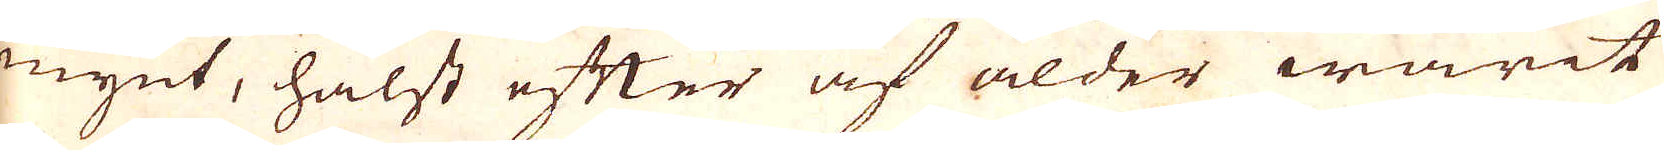mynt, hälst efter af ålder warit
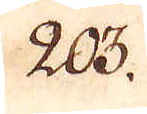203.
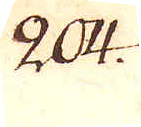204.
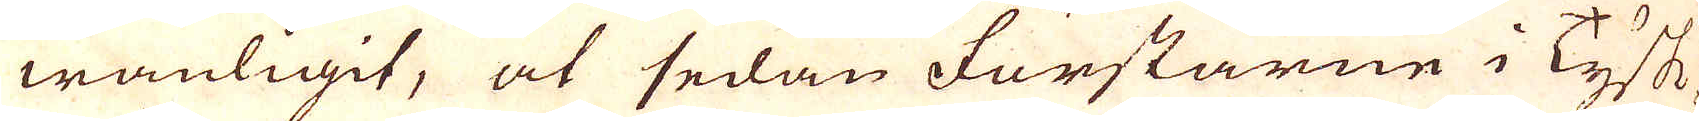wanligit, at sedan förstarne i Tysk-
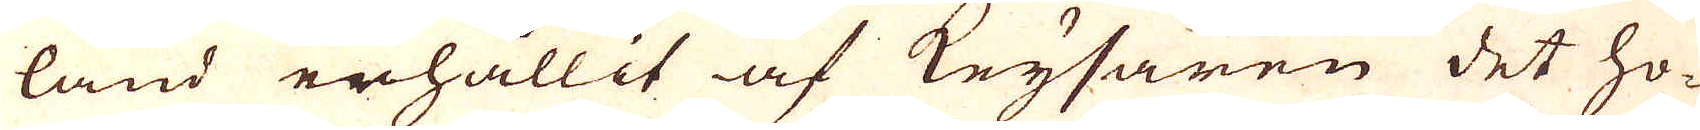land erhållit af Keysaren det ho-
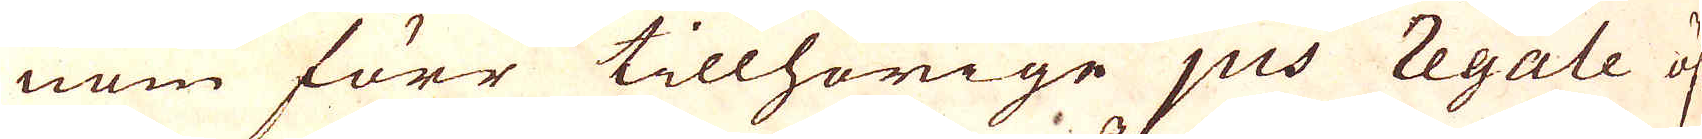nom förr tillhörige jus regale öf-
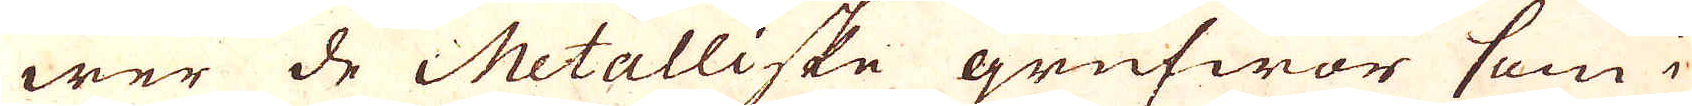wer de Metalliske grufwor som i
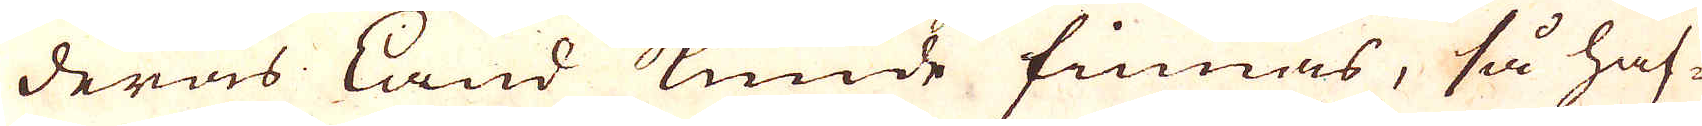deras Land kunde finnas, så haf-
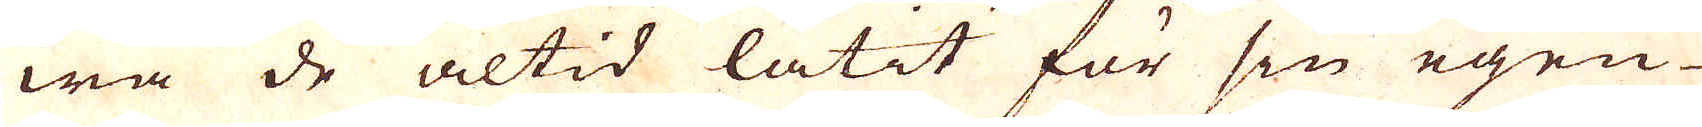wa de altid låtit för sin egen
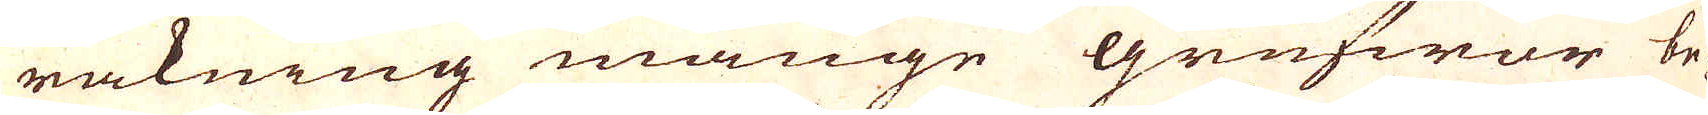räkning månge grufwor be-
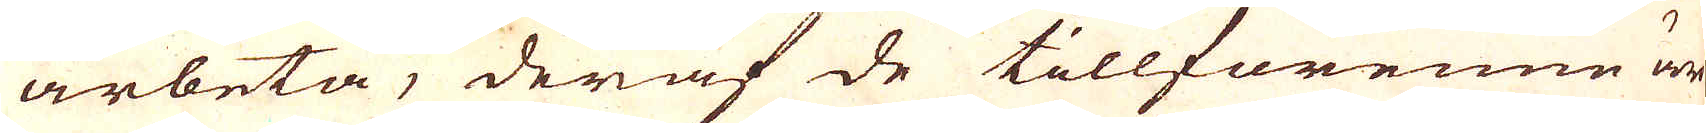arbeta, deraf de tillförenne äro
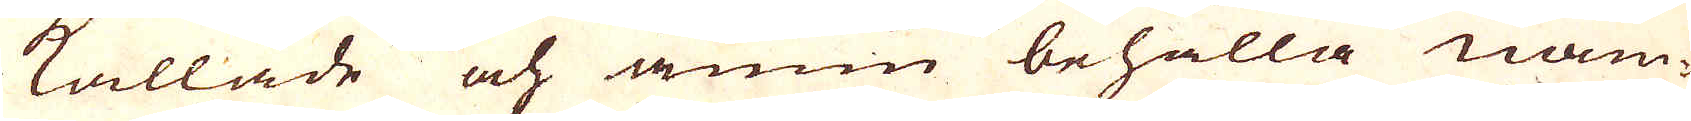kallade och ännu behålla nam-
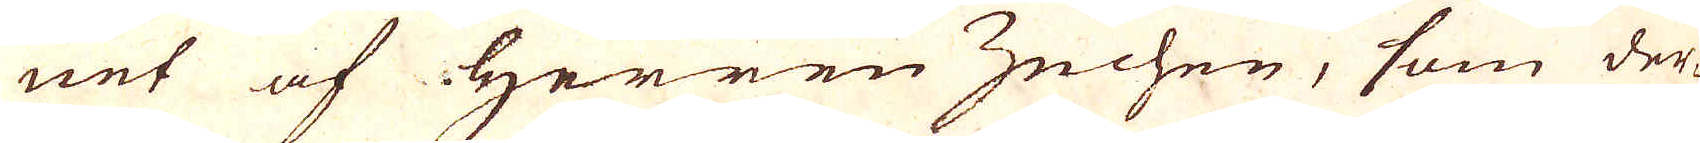net af Herren Zechen, som der-
